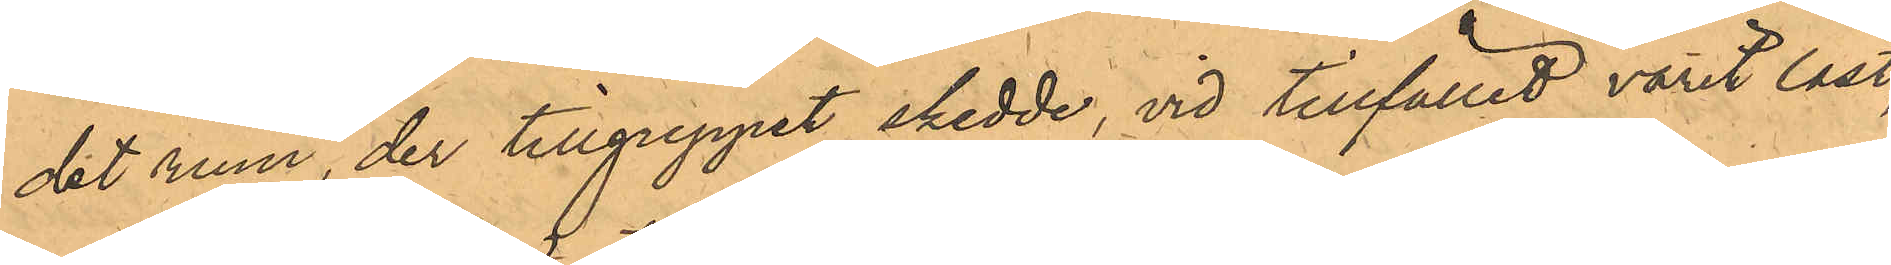det rum, der tillgreppet skedde, vid tillfället varit låst,
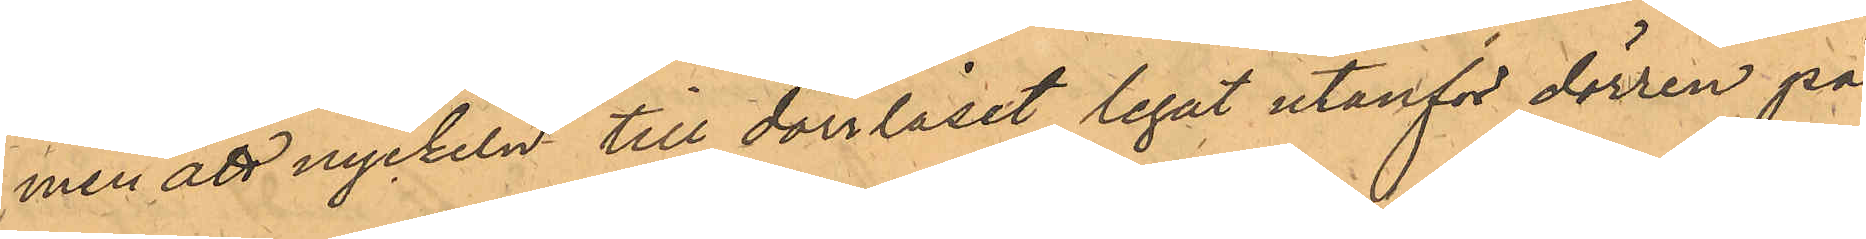men att nyckeln till dörrlåset legat utanför dörren på
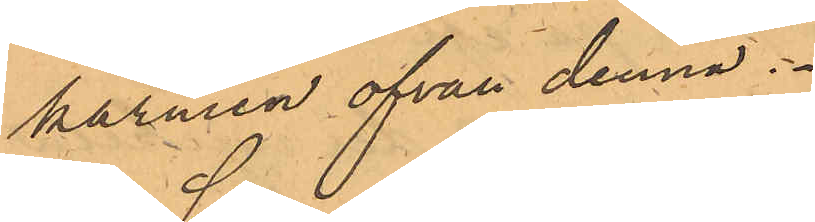karmen ofvan denna.
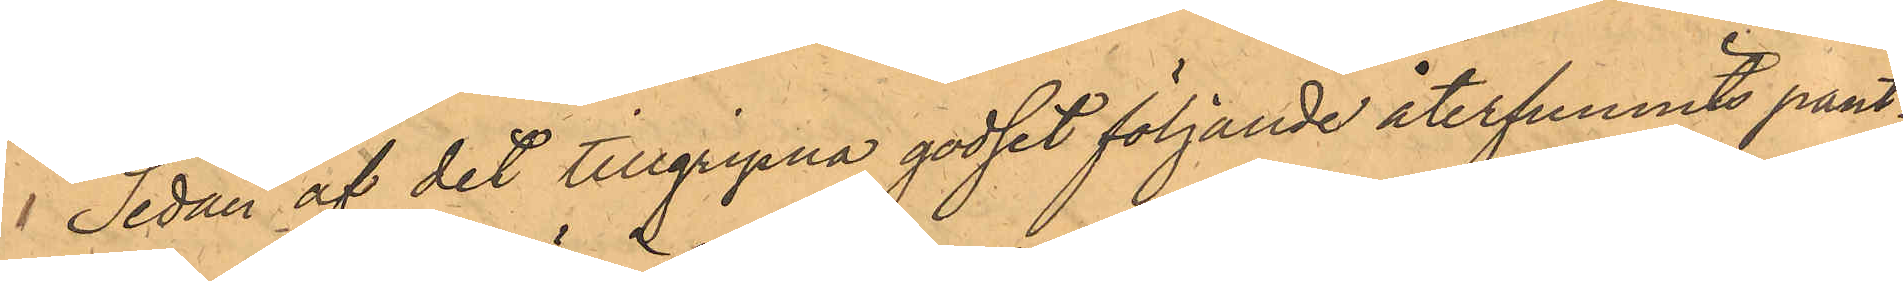 Sedan af det tillgripna godset följande återfunnits pant¬
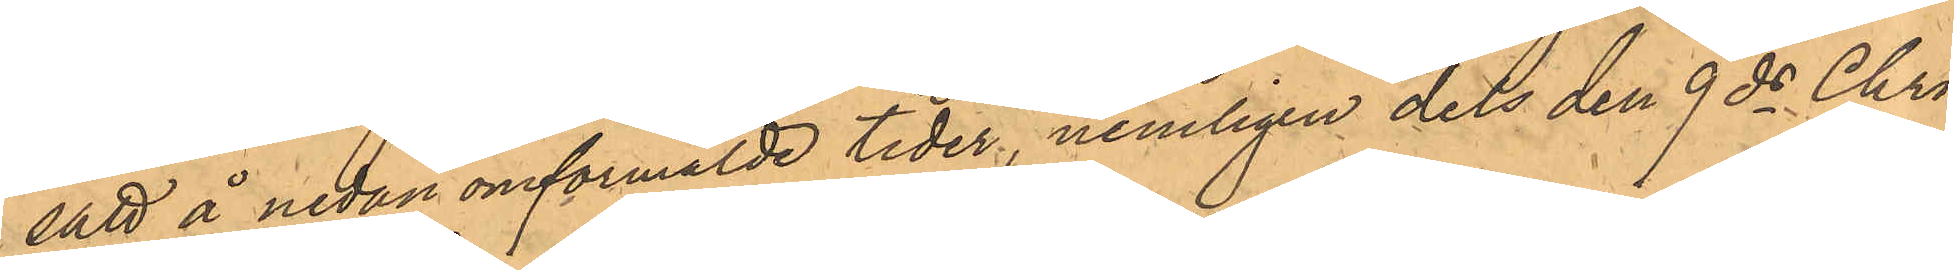satt å nedan omförmälde tider, nemligen dels den 9 ds Chrs¬
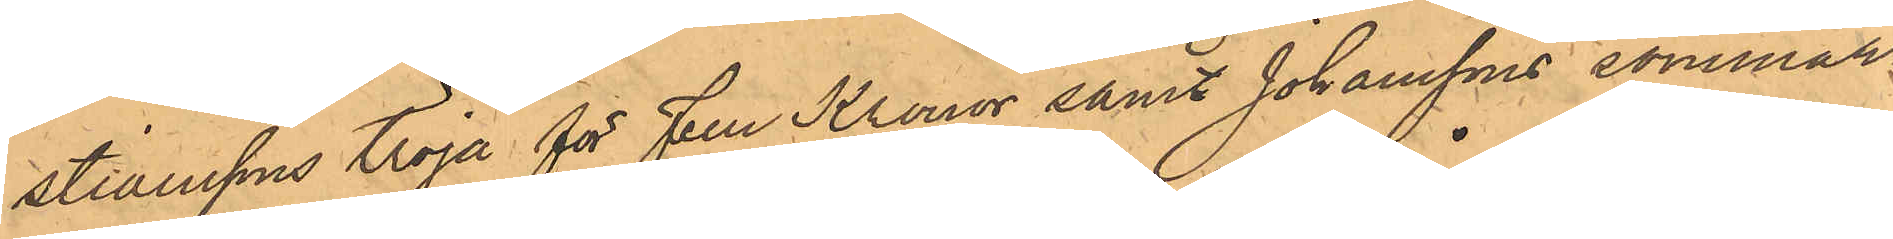stianssons tröja för Fem Kronor samt Johanssons sommar¬
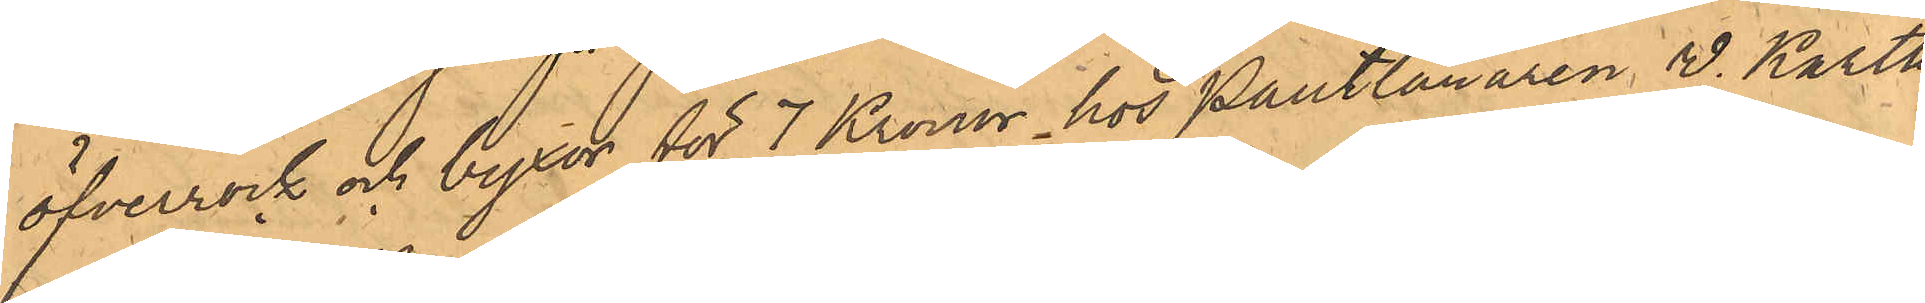öfverrock och byxor för 7 Kronor hos Pantlånaren W. Karth
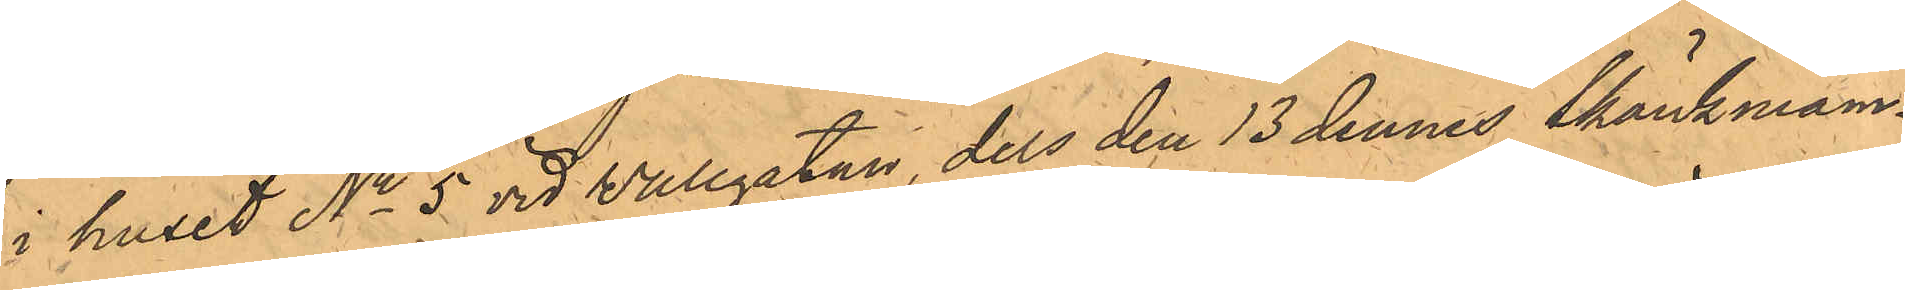i huset No 5 vid Vallgatan, dels den 13 dennes Skänkman¬
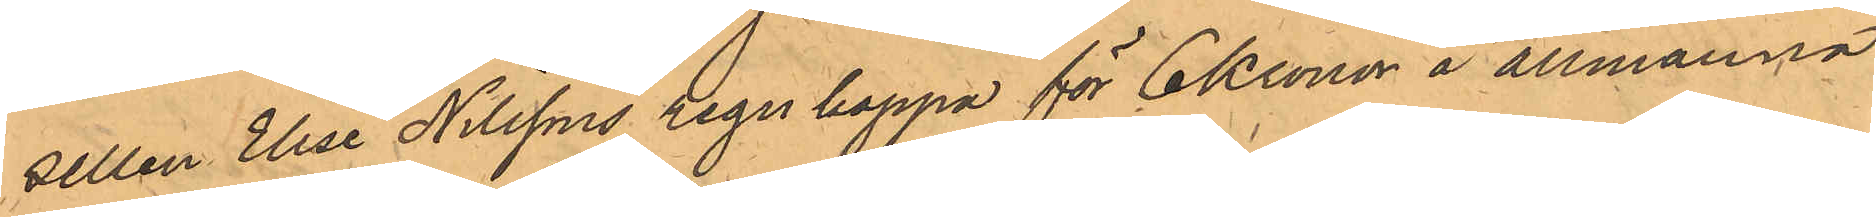sellen Elise Nilssons regnkappa för 6 Kronor å allmänna
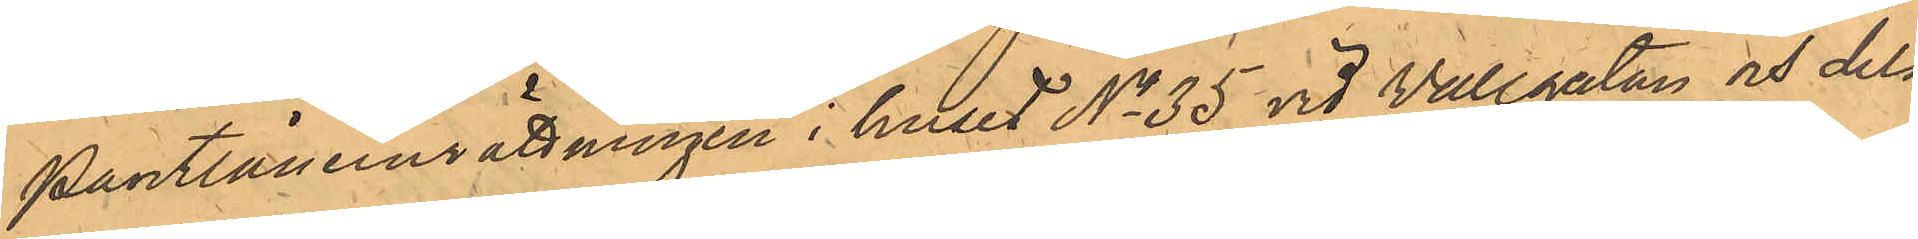Pantlåneinrättningen i huset No 35 vid Vallgatan och dels
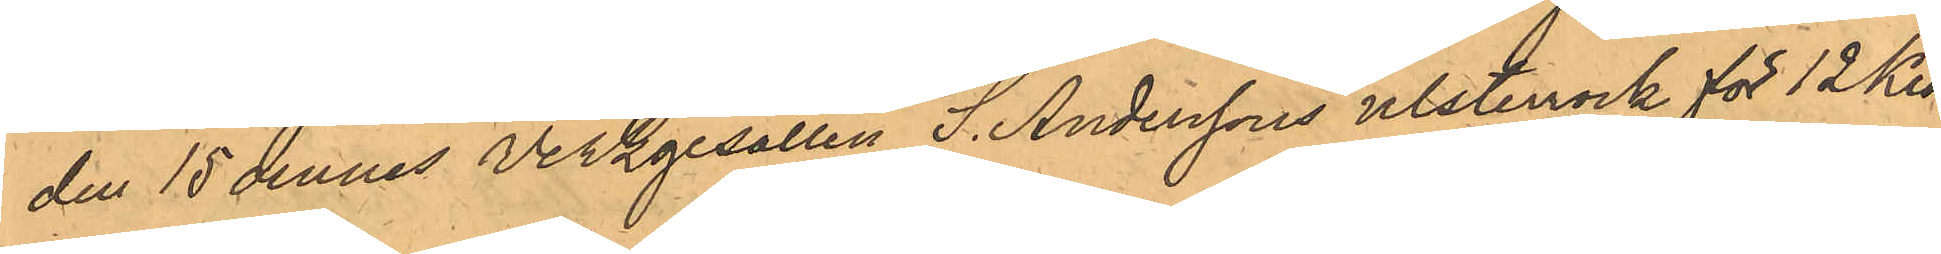den 15 dennes Verkgesällen S. Anderssons ulsterrock för 12 Kro¬
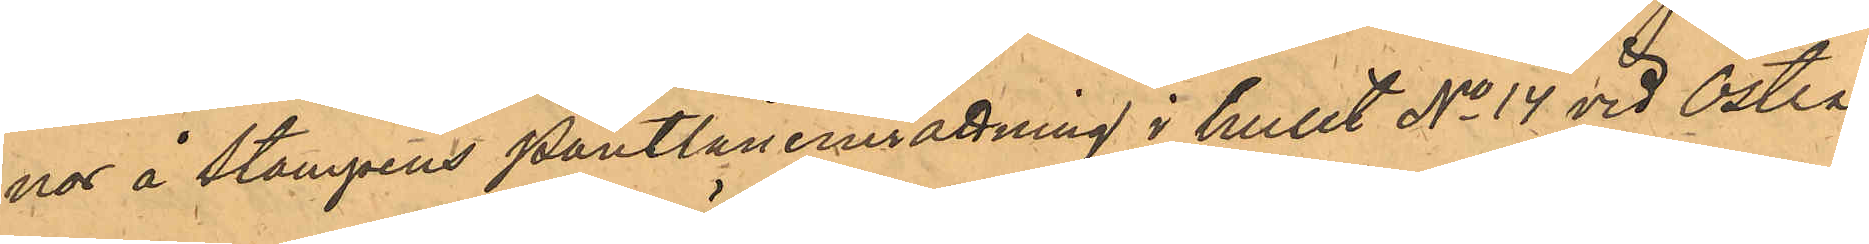nor å Stampens Pantlåneinrättning i huset No 14 vid Östra
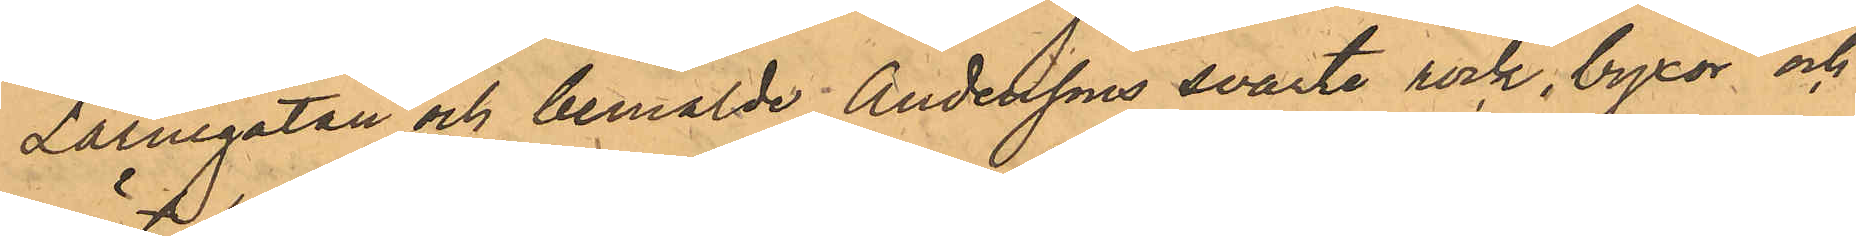Larmgatan och bemälde Anderssons svarte rock, byxor och
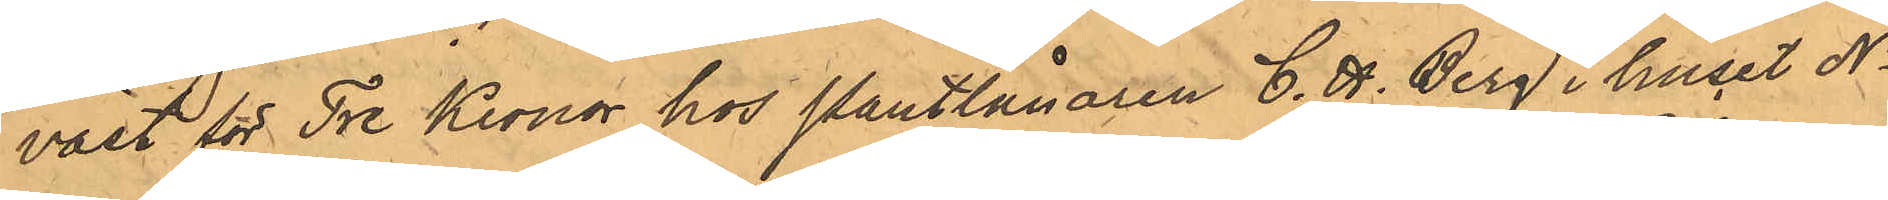väst för Tre Kronor hos Pantlånaren C. H. Berg i huset No
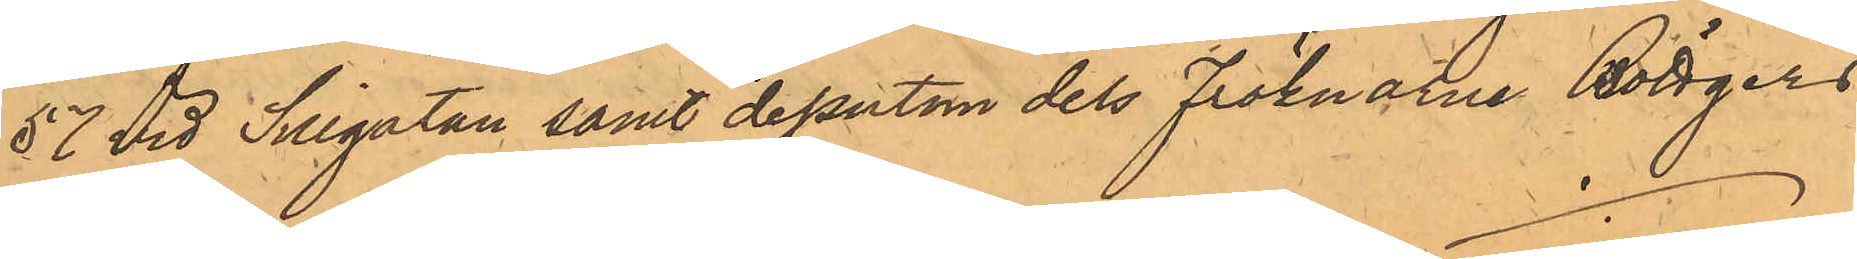57 vid Sillgatan samt dessutom dels Fröknarne Böttgers
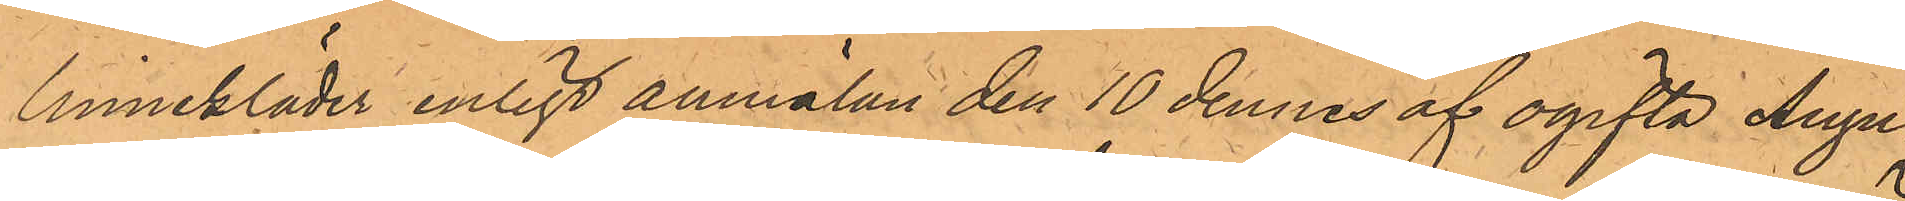linnekläder enligt anmälan den 10 dennes af ogifta Augu¬
